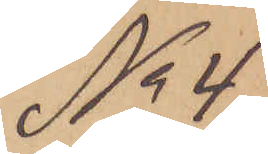No 4
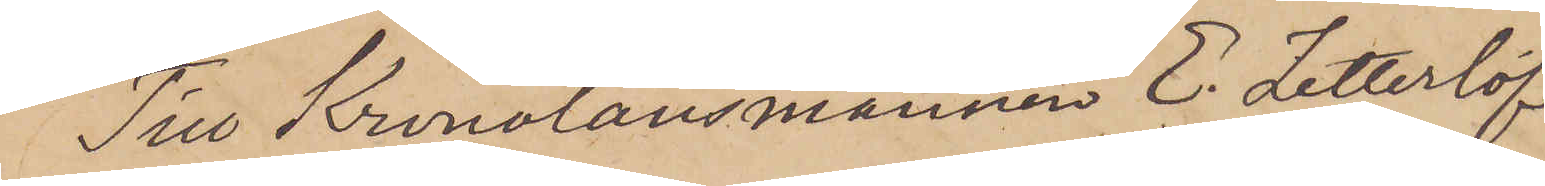Till Kronolänsmannen E. Zetterlöf
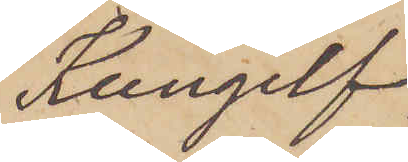Kungelf.
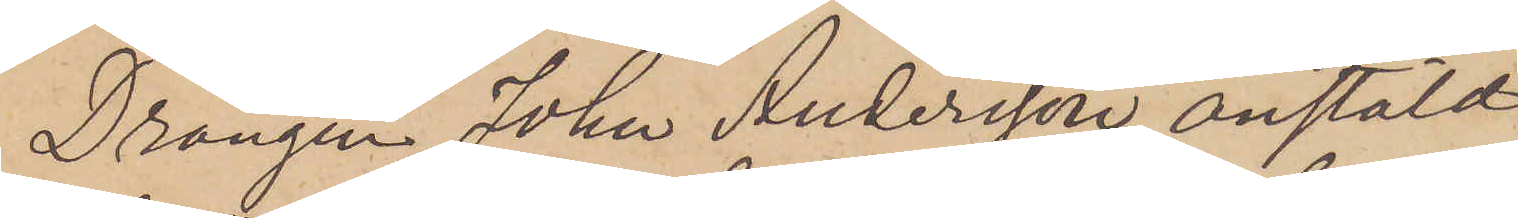Drängen Johan Andersson, anstäld
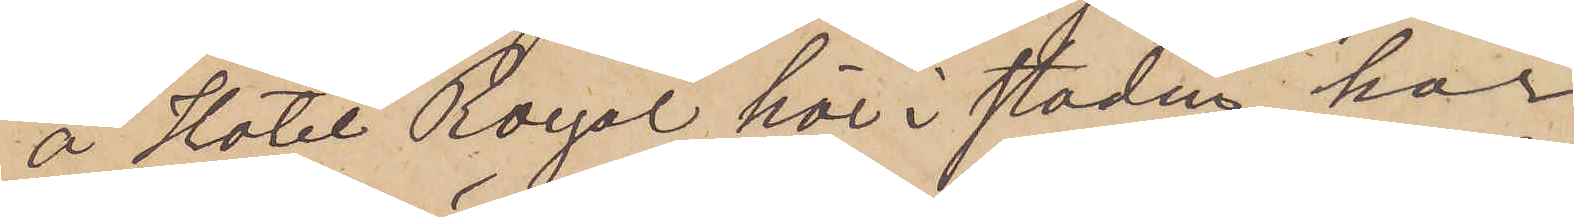å Hotel Royal här i staden, har
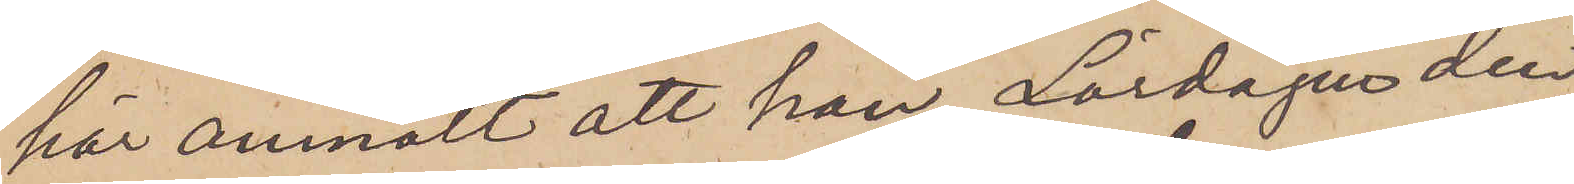här anmält att han Lördagen den
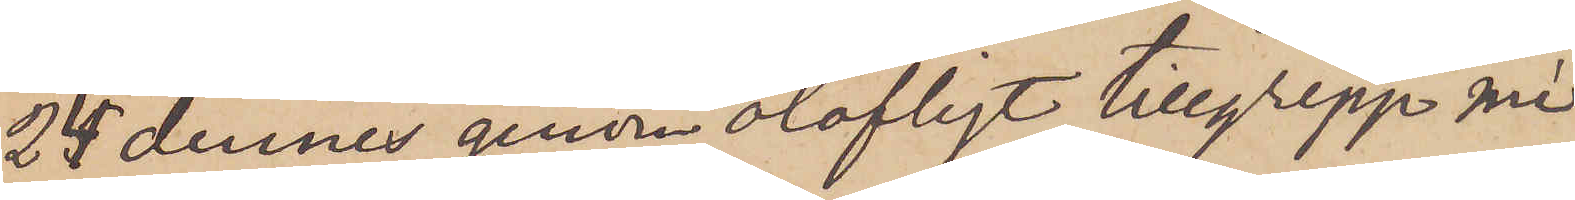24 dennes genom olofligt tillgrepp mi¬
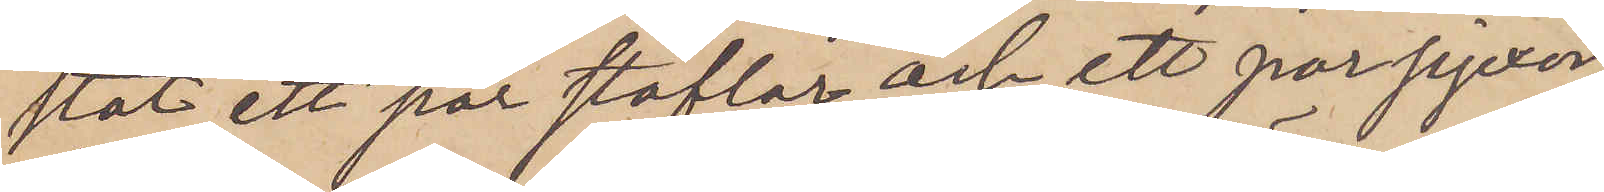stat ett par stöflar och ett par pjexor,
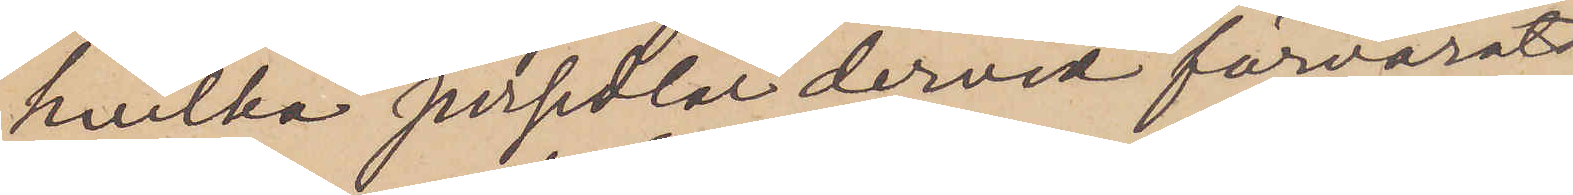hvilka persedlar dervid förvarats
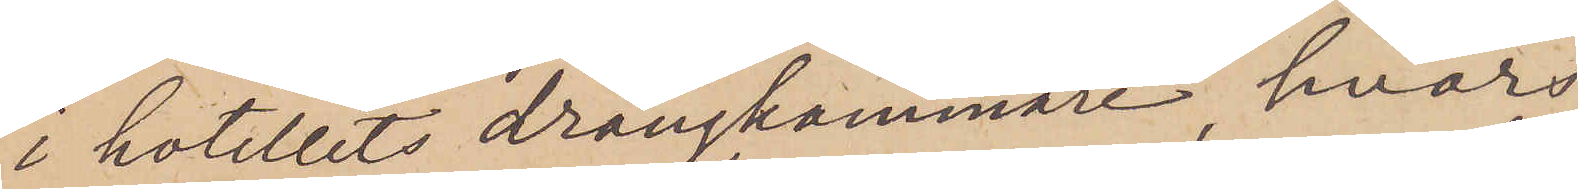i hotellets drängkammare, hvars
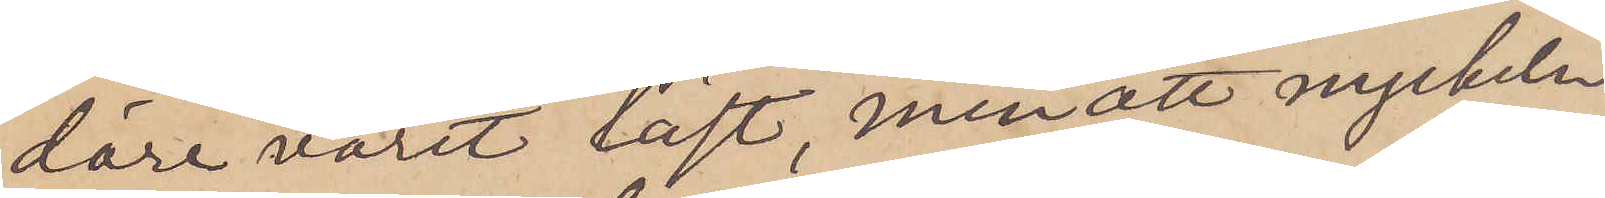dörr varit låst, men att nyckeln
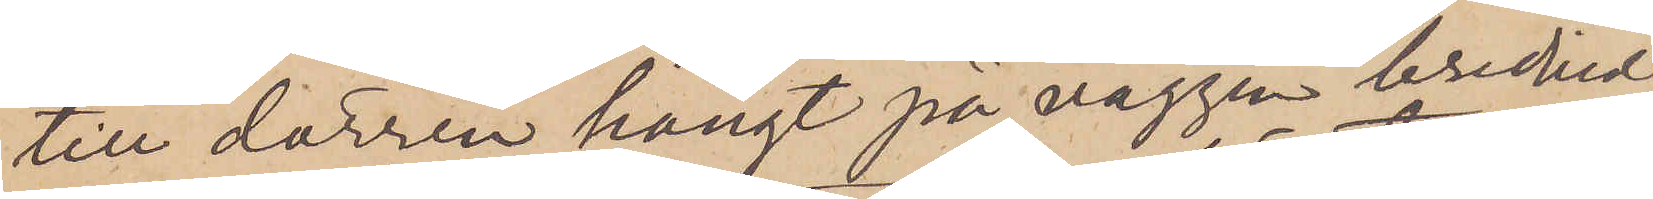till dörren hängt på väggen brevid
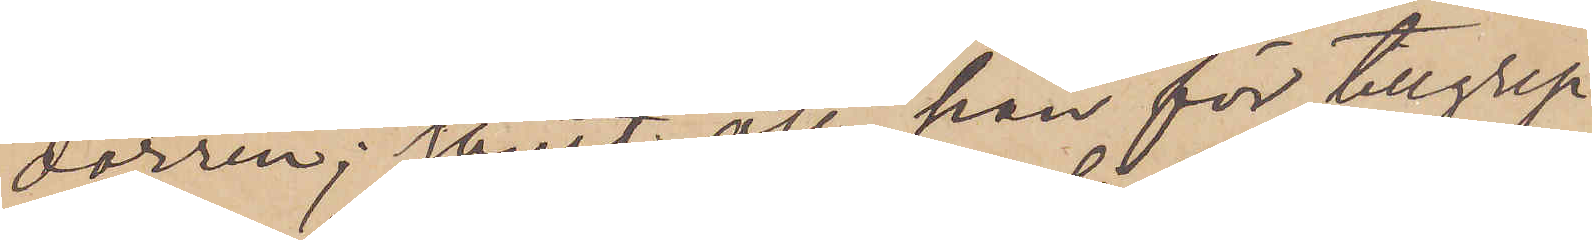dörren; samt att han för tillgrep¬
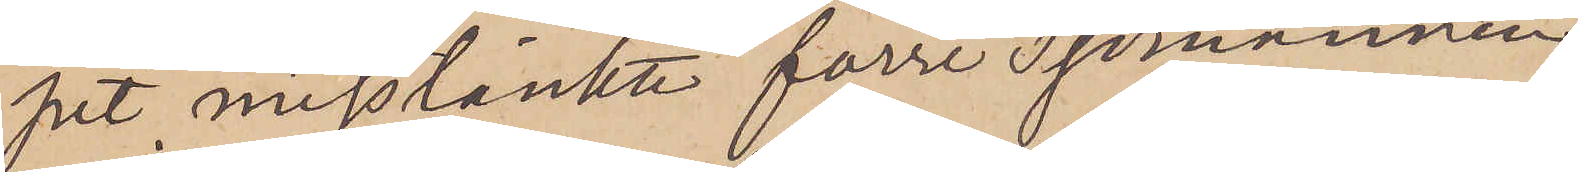pet misstänkte förre Sjömannen
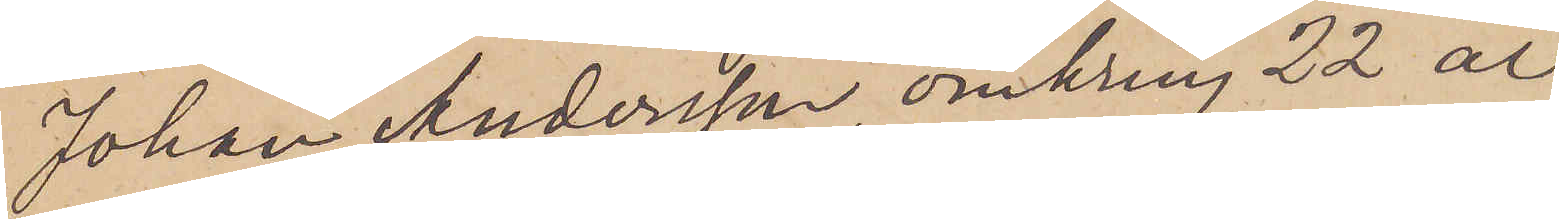Johan Andersson, omkring 22 år
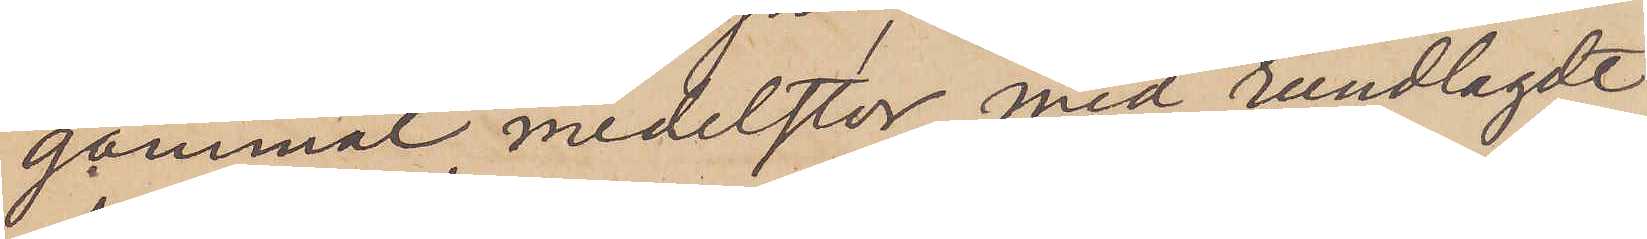gammal, medelstor, med rundlagdt
